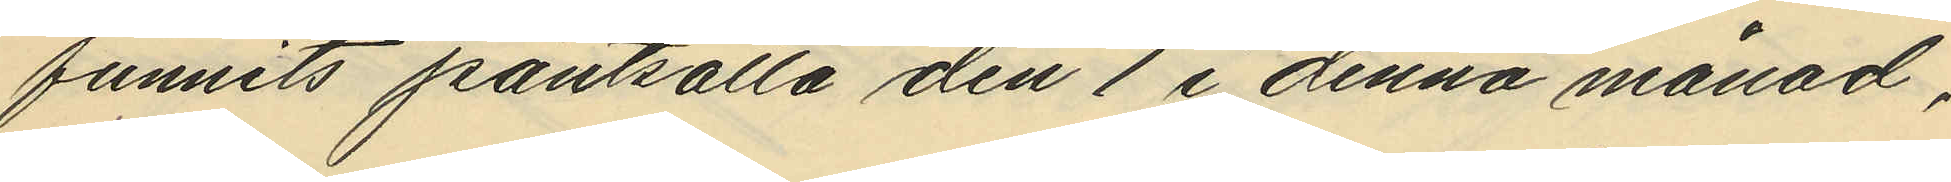funnits pantsatta den 1 i denna månad,
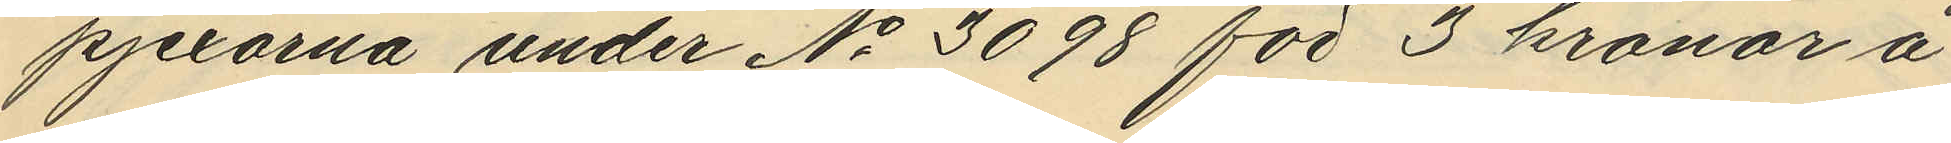pjexorna under No 3098 för 3 kronor å
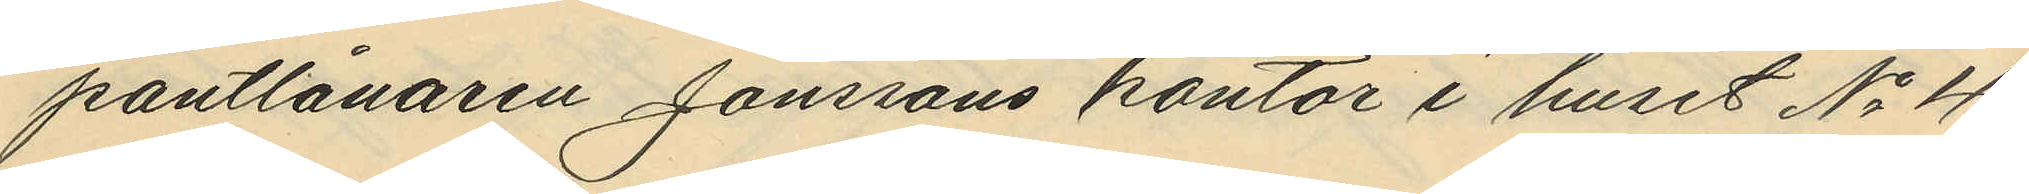pantlånaren Jonssons kontor i huset No 4
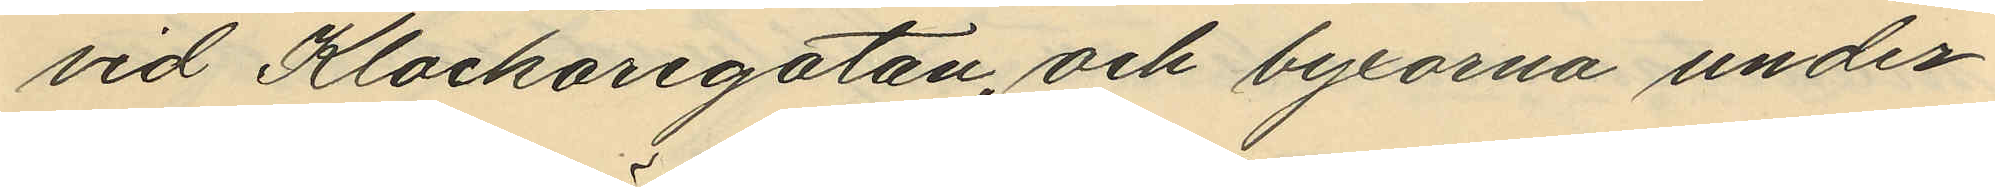vid Klockaregatan, och byxorna under
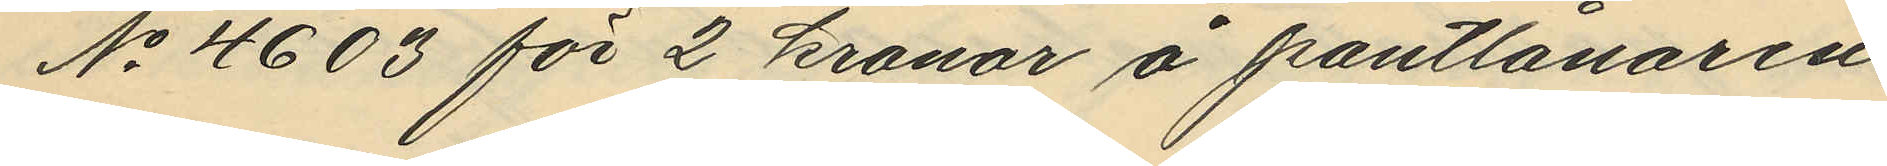No 4603 för 2 kronor å pantlånaren
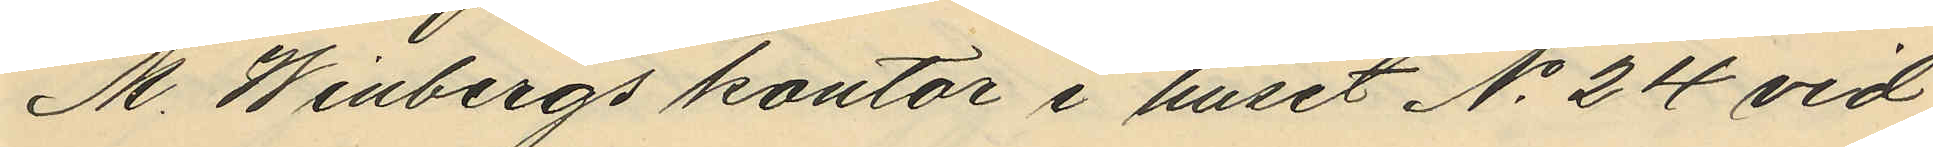M. Winbergs kontor i huset No 24 vid
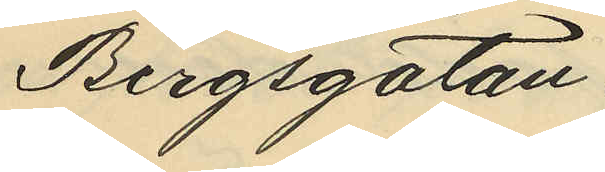Bergsgatan.
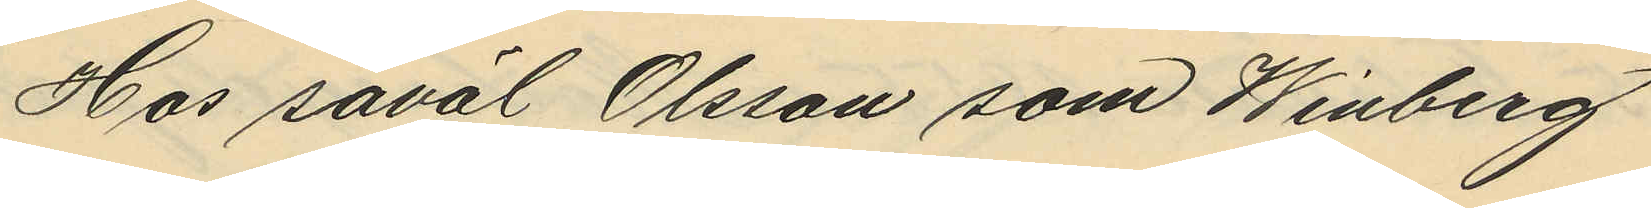Hos såväl Olsson som Winberg
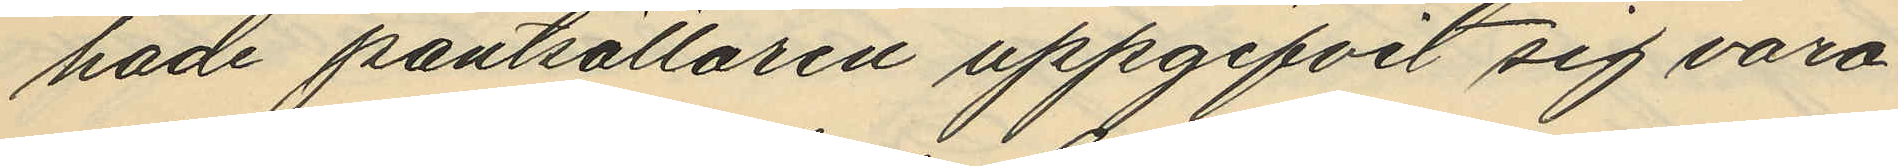hade pantsättaren uppgifvit sig vara
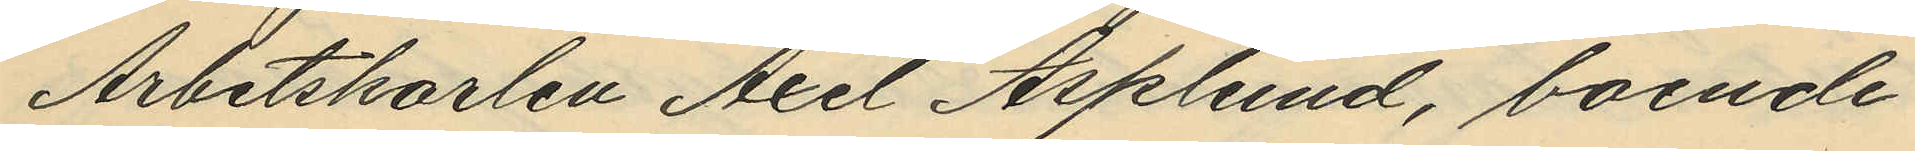Arbetskarlen Axel Asplund, boende
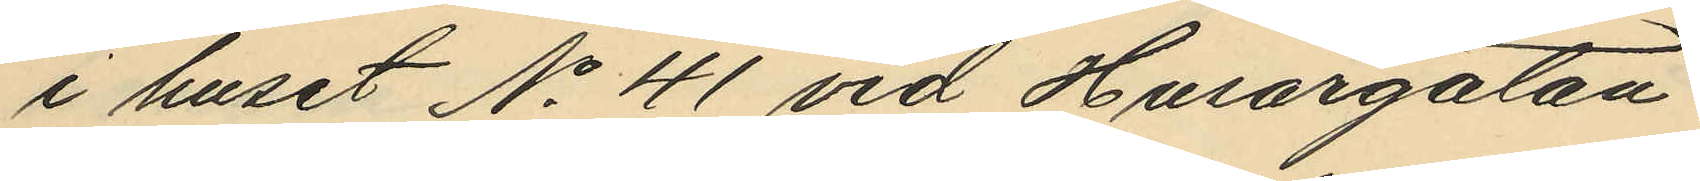i huset No 41 vid Husargatan.
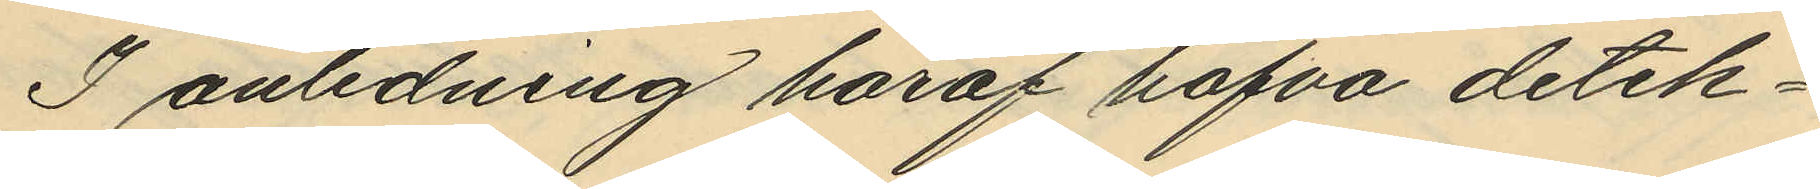I anledning häraf hafva detek¬
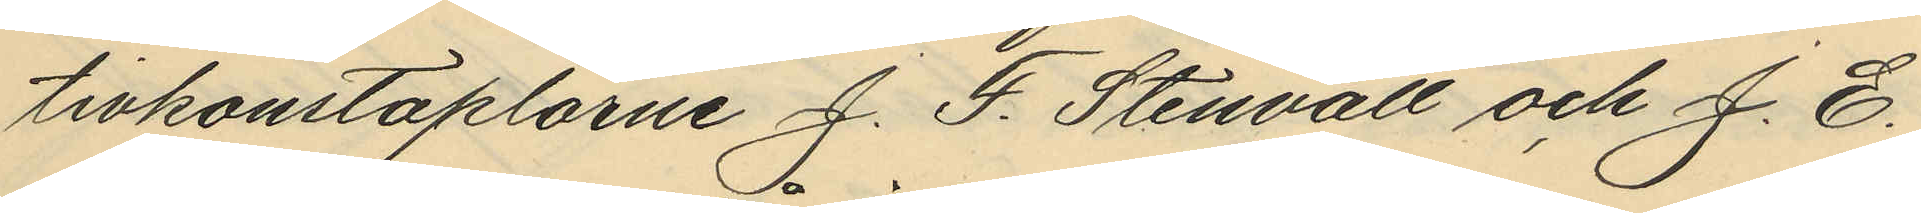tivkonstaplarne J. F. Stenvall och J. E.
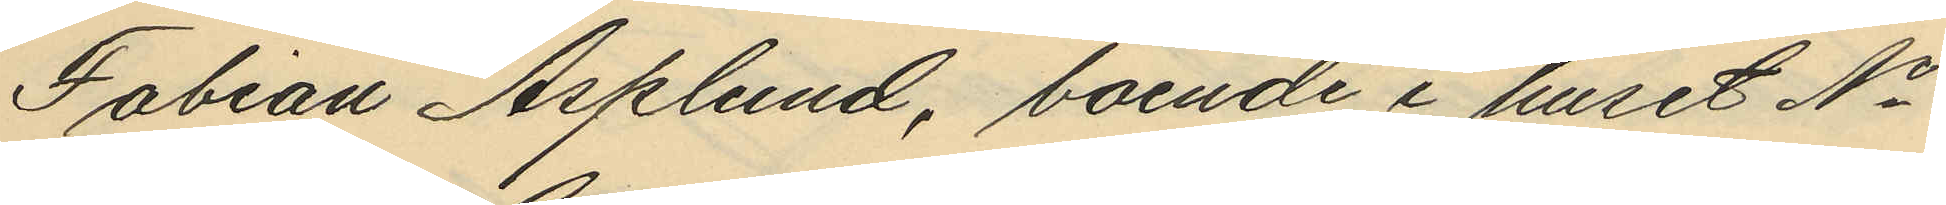Fabian Asplund, boende i huset No
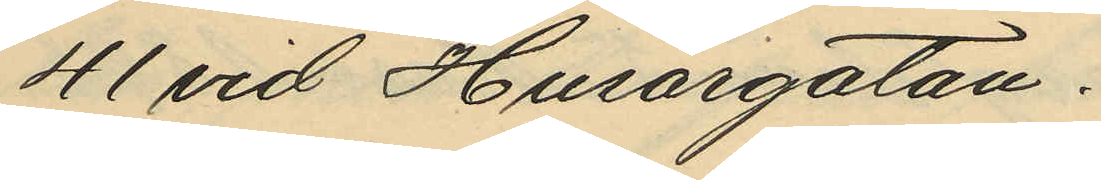41 vid Husargatan.
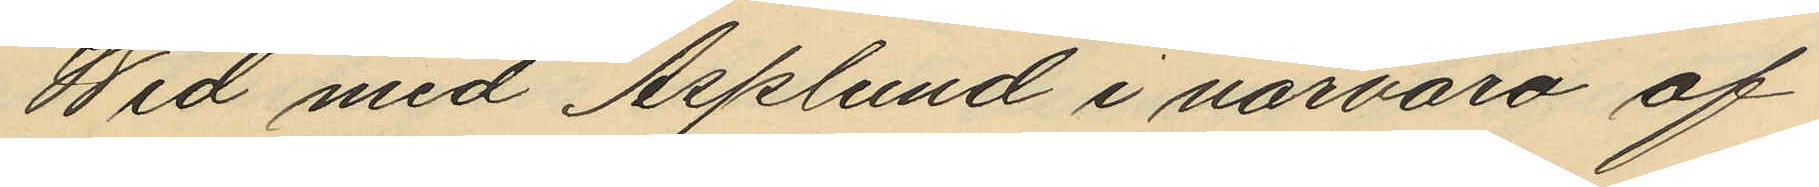Wid med Asplund i närvaro af
